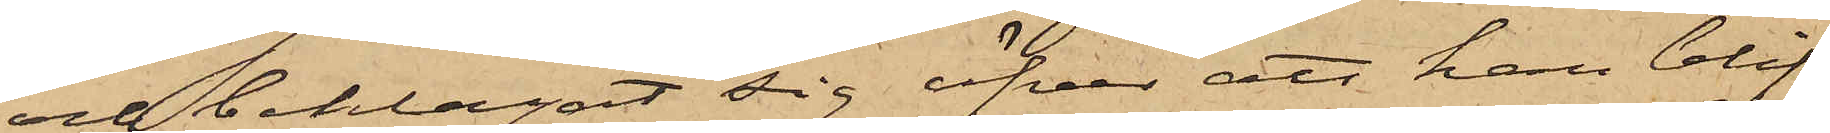och beklagat sig öfver att han blif¬
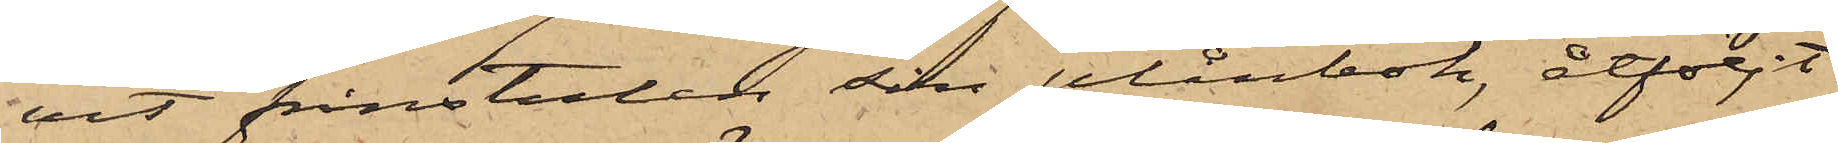vit frånstulen sin plånbok, åtföljt
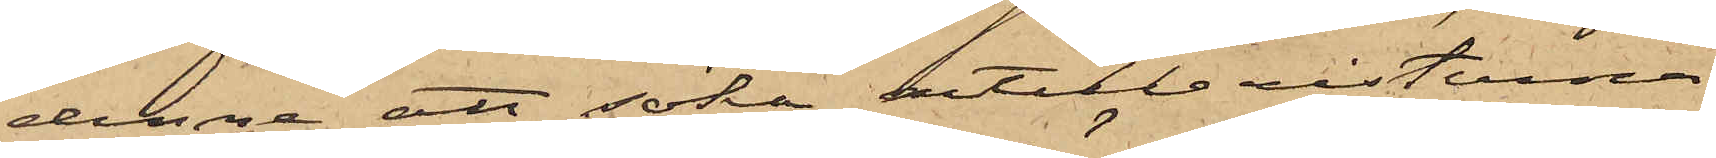denne att söka artilleristerna,
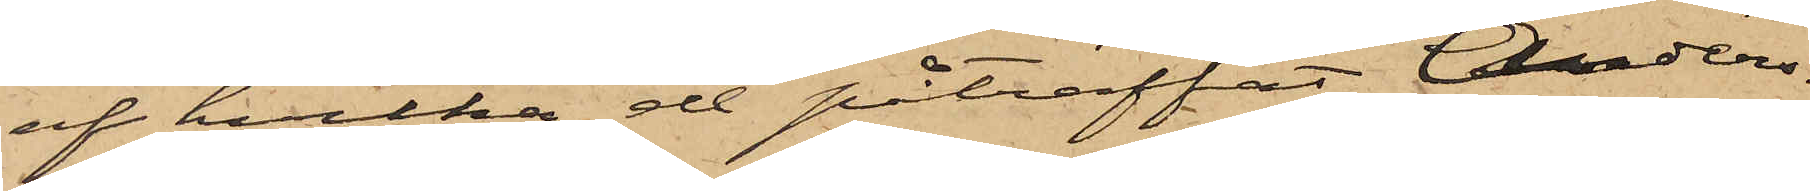af hvilka de påträffat Anders¬
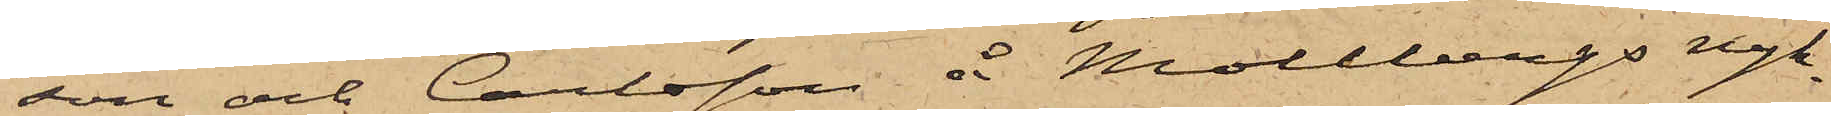son och Carlsson å Mollbergs nyk¬
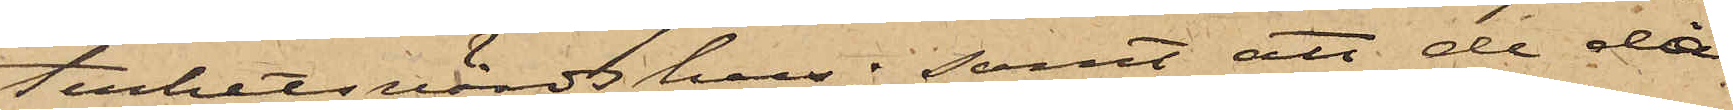terhetsvärdshus; samt att de då
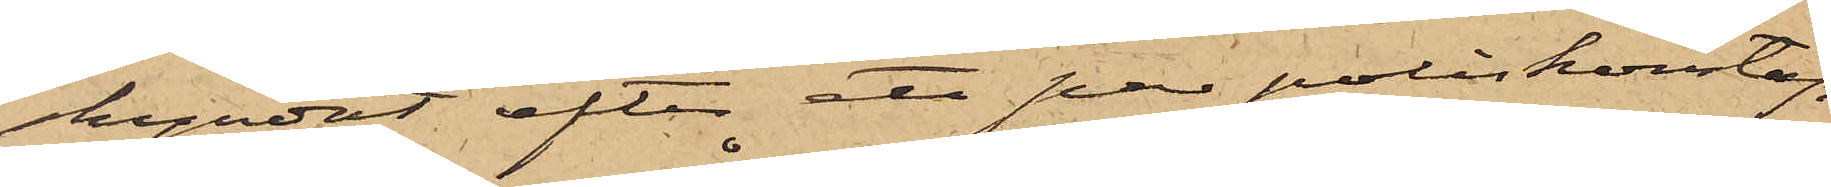skyndat efter ett par poliskonstap¬
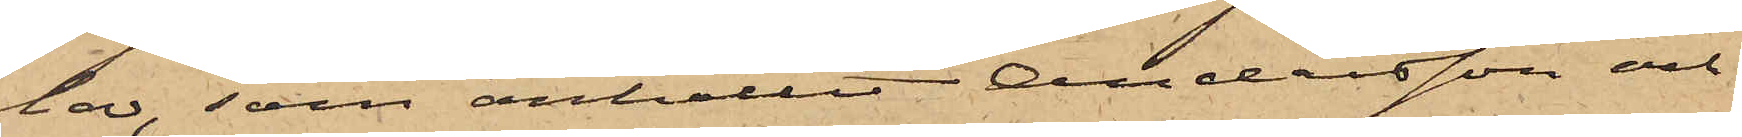lar, som anhållit Andersson och
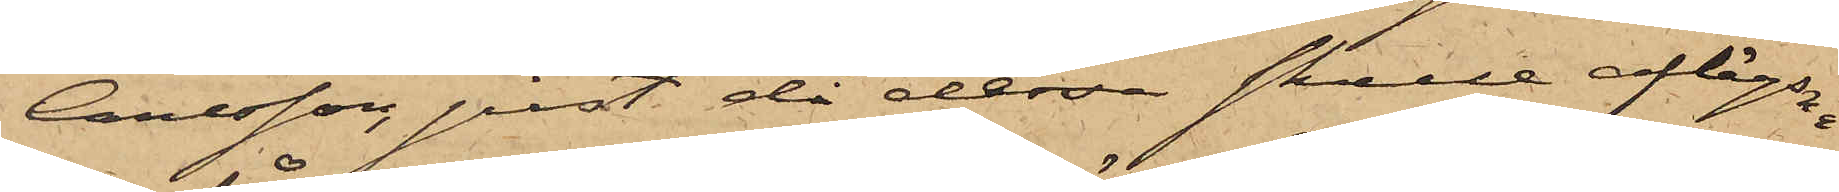Carlsson, just då dessa skulle aflägsna
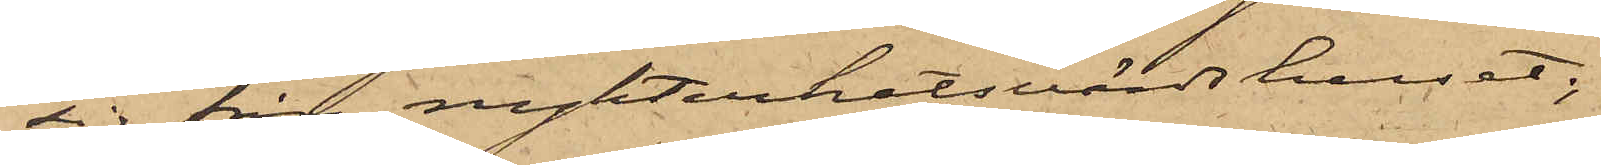sig från nykterhetsvärdshuset;
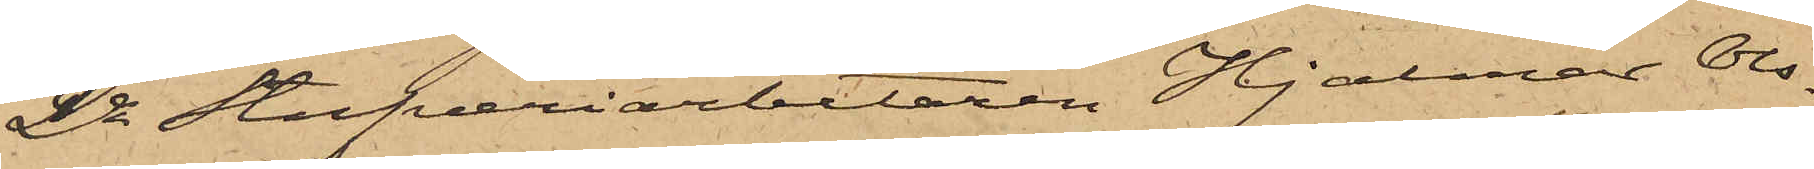2o Stufveriarbetaren Hjalmar Ols¬
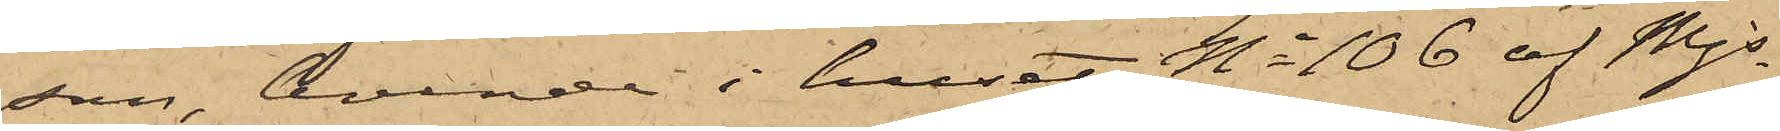son, boende i huset No 106 af Mjs
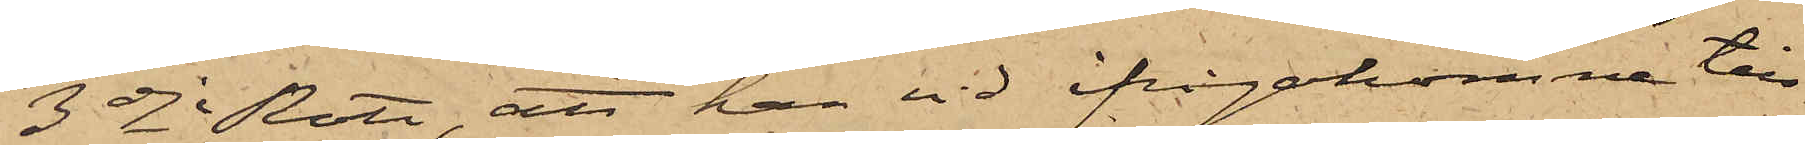3dje Rote, att han vid ifrågakomne till¬
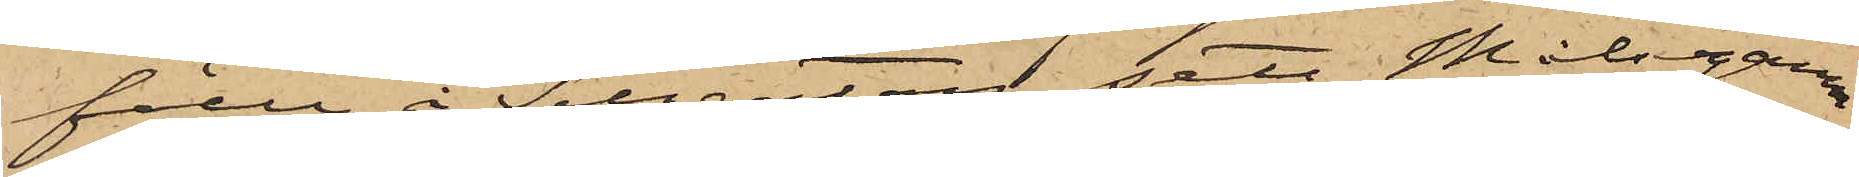fälle i Sillgatan sett Målsegaren
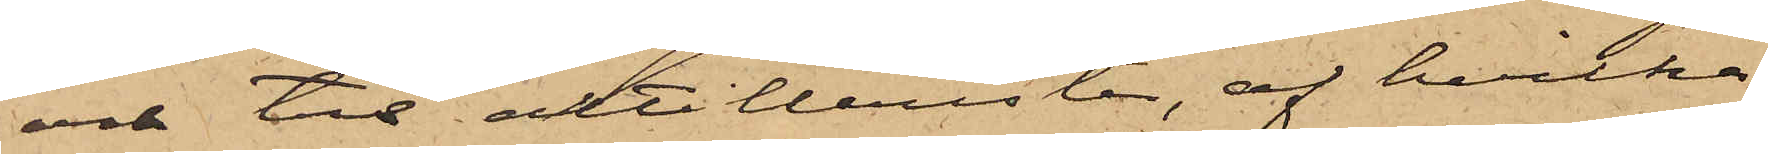och tre artillerister, af hvilka
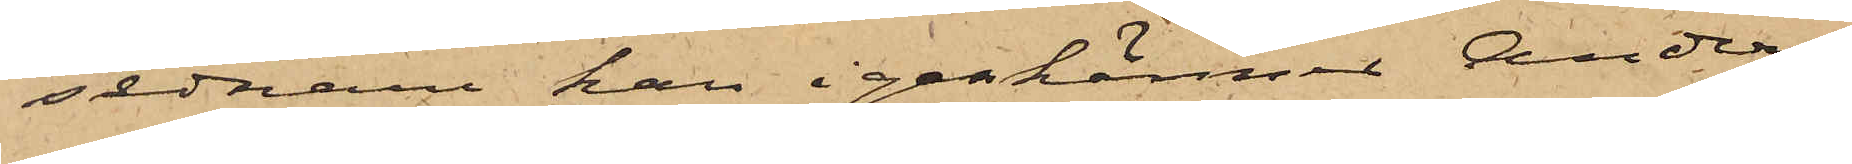sednare han igenkänt Anders¬
